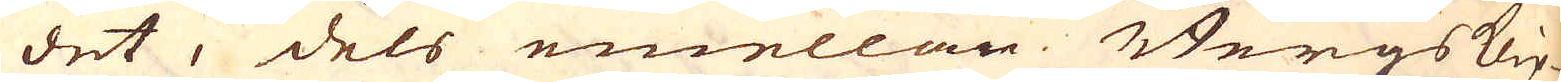det, dels emellan Bergs klip-
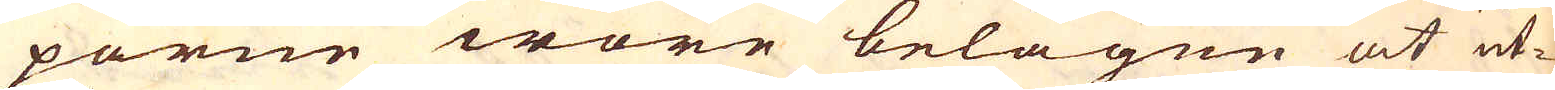porne wore belägne at ut-
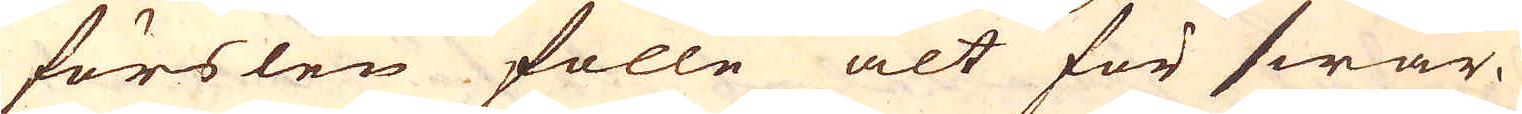förslen fölle alt för swår.
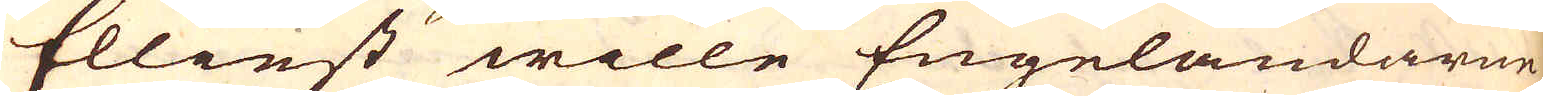Elliest wille Engeländarne
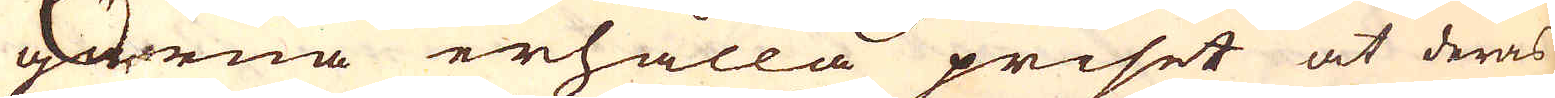gärna erhålla priset at deras
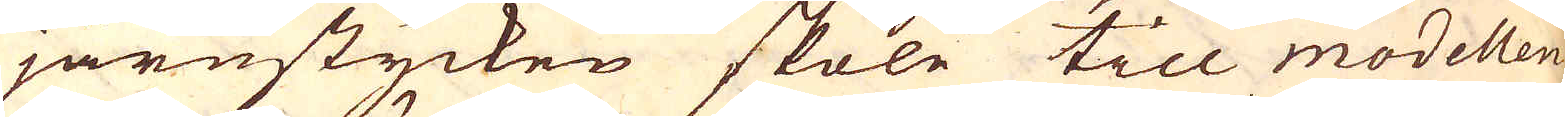järnstycken skole till modellen
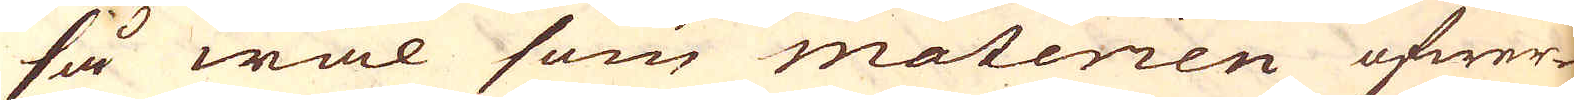så wäl som materien öfwer-
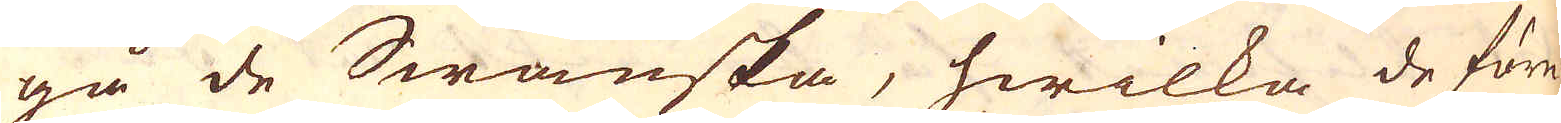gå de Swänska, hwilka de före-
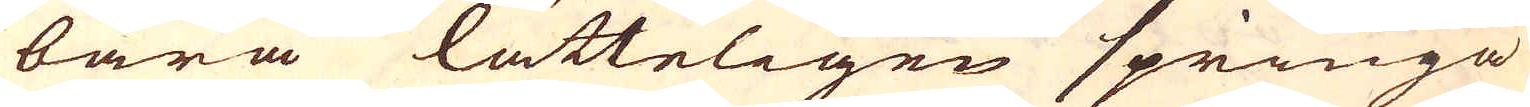bära lätteligen springa
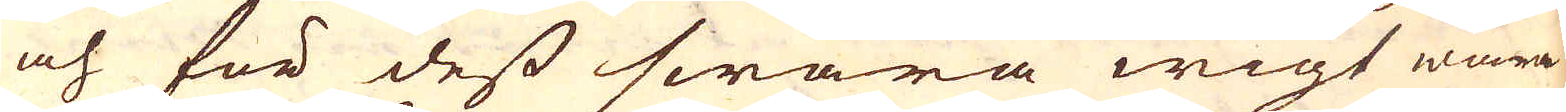och för dess swåra wigt wara
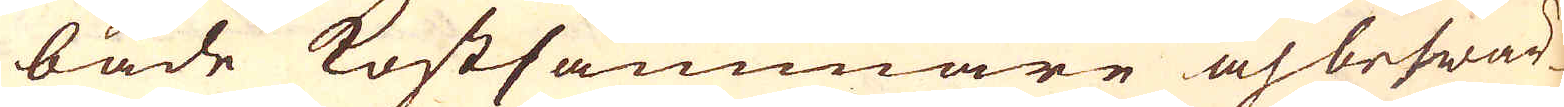både kostsammare och beswär-
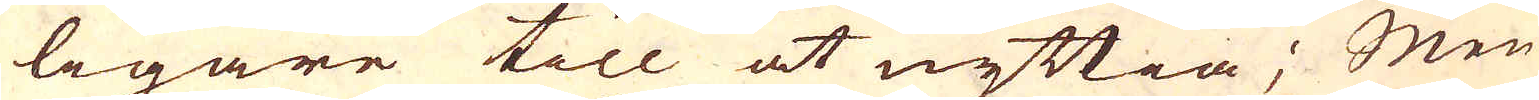ligare till at nyttia; Men
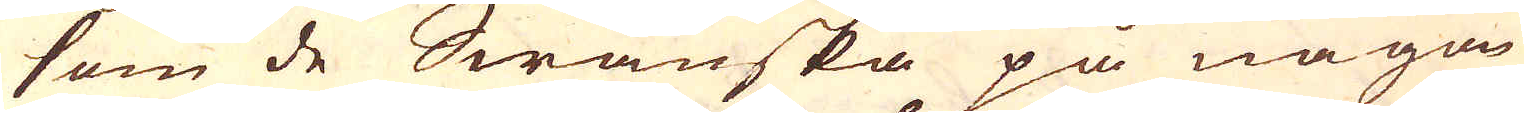som de Swänska på någan
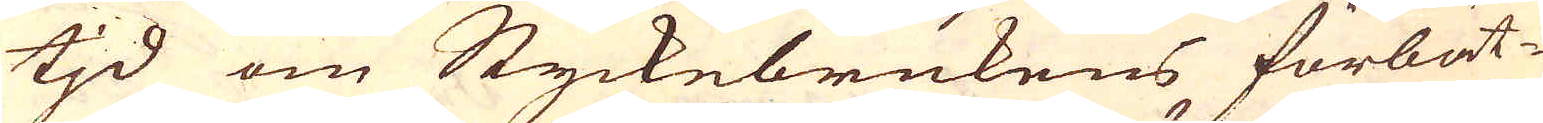tjd om Styckebrukens förbät-
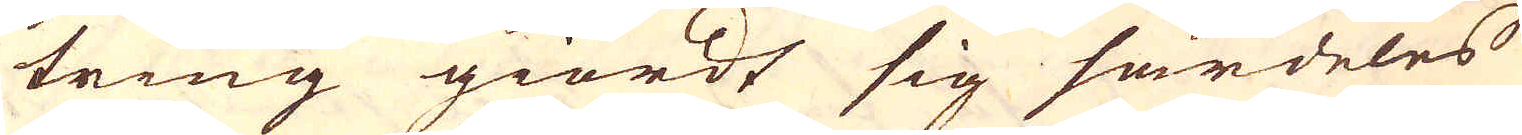tring giordt sig särdeles
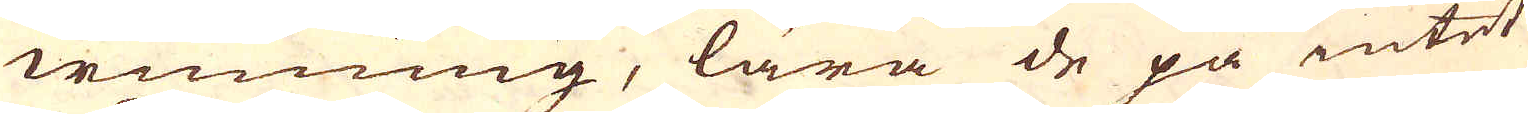winning, lära de på intet
